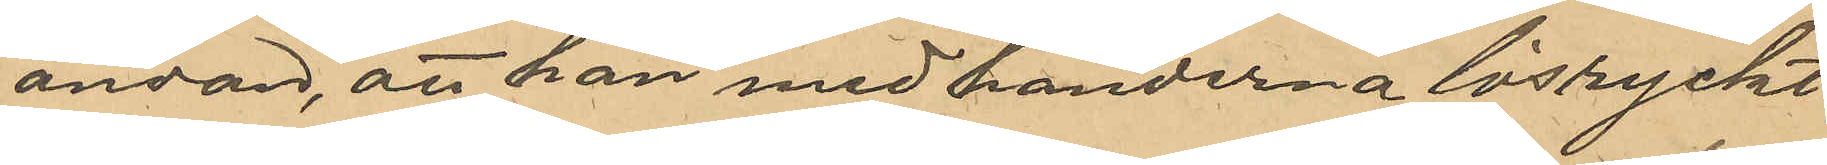ändan, att han med händerna lösryckt
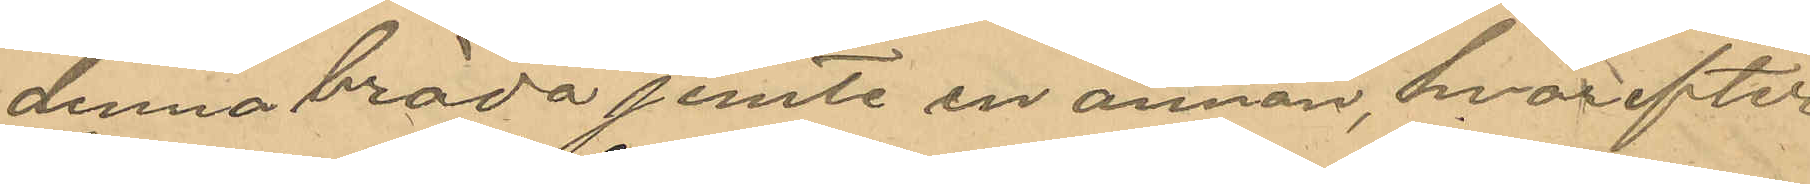denna bräda jemte en annan, hvarefter
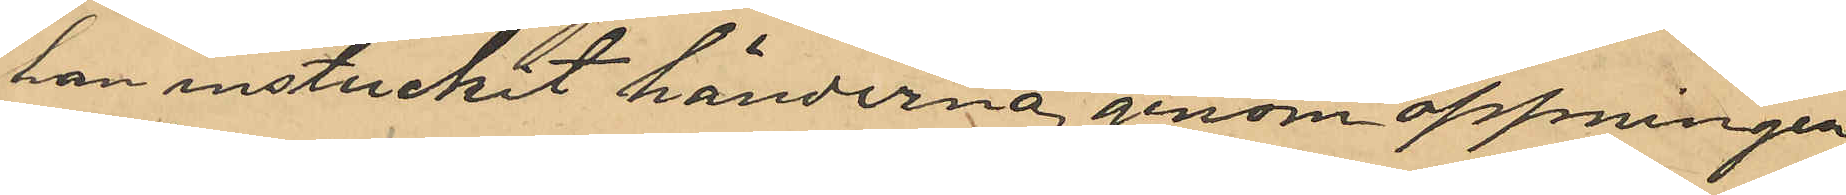han instuckit händerna genom öppningen
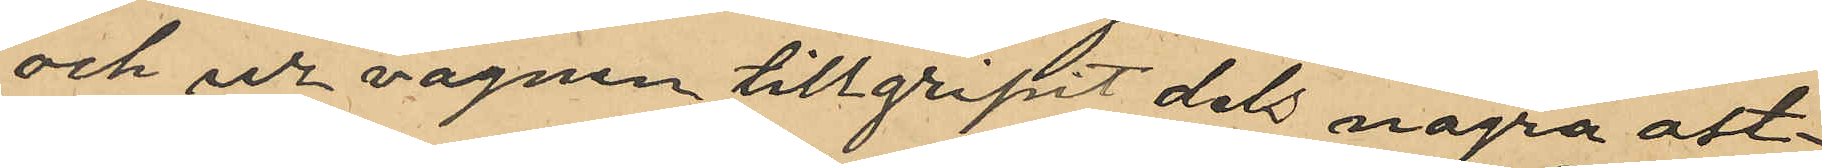och ur vagnen tillgripit dels några ost¬
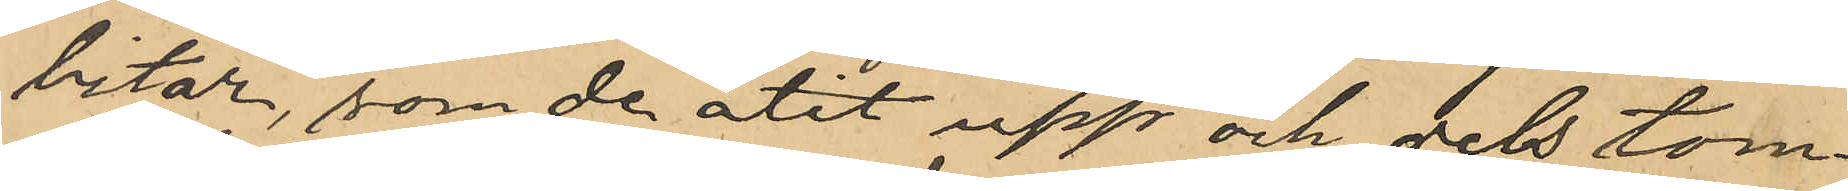bitar, som de ätit upp och dels tom¬
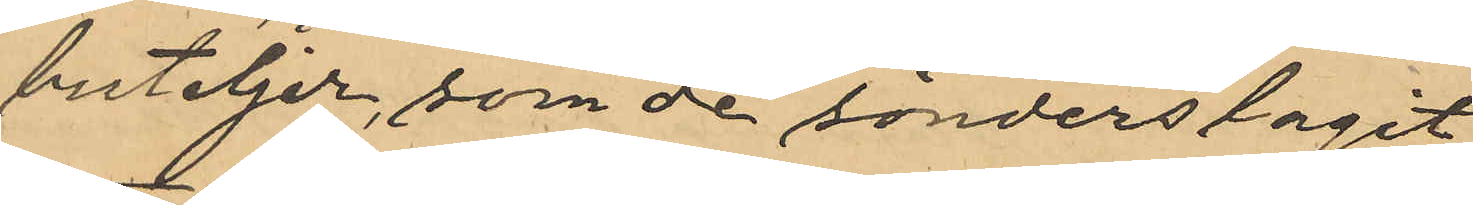buteljer, som de sönderslagit;
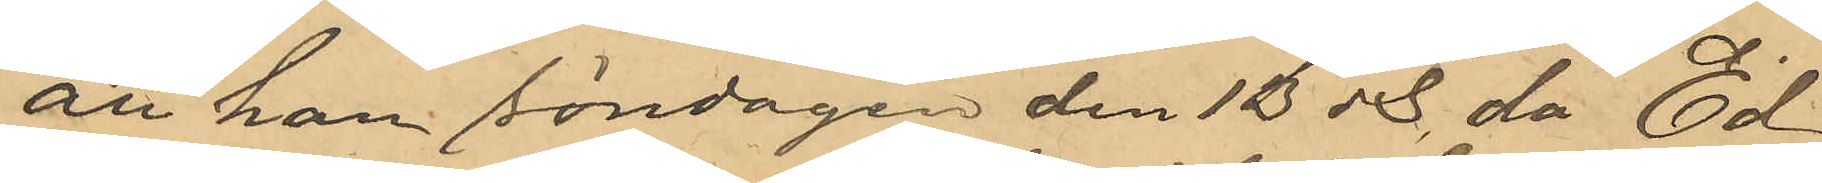att han söndagen den 13 ds då Ed
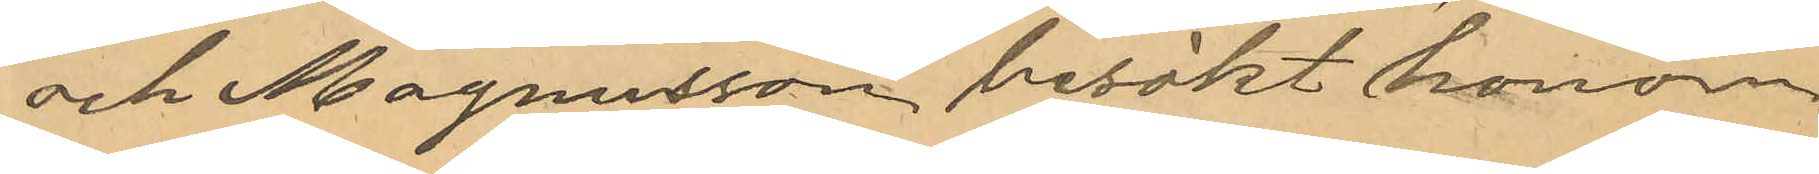och Magnusson besökt honom
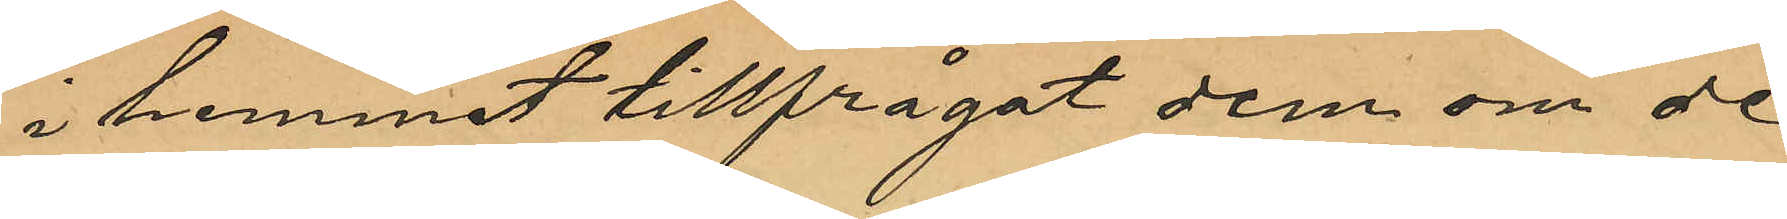i hemmet tillfrågat dem om de
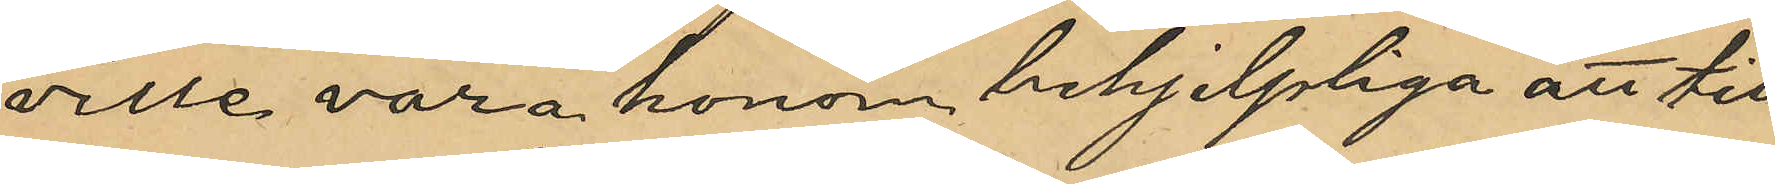ville vara honom behjelpliga att till¬
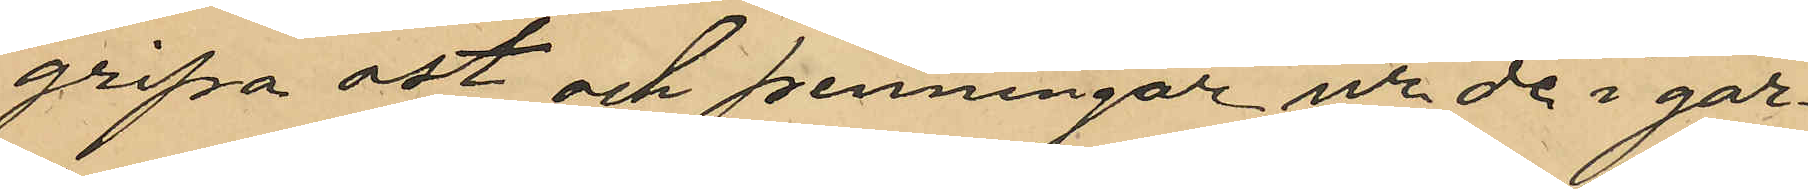gripa ost och penningar ur de i går¬
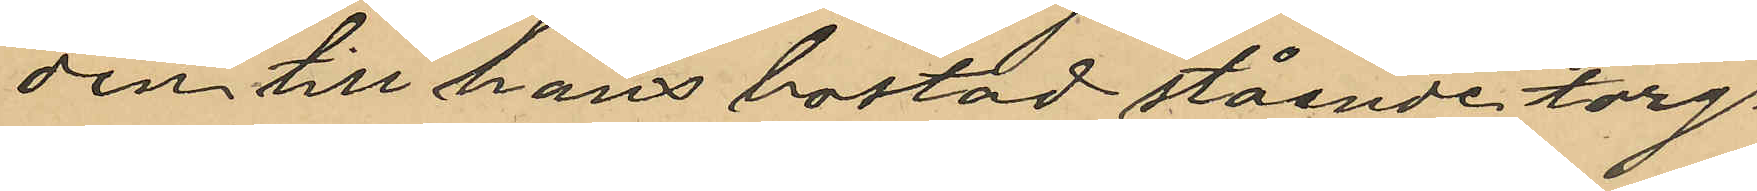den till hans bostad stående torg¬
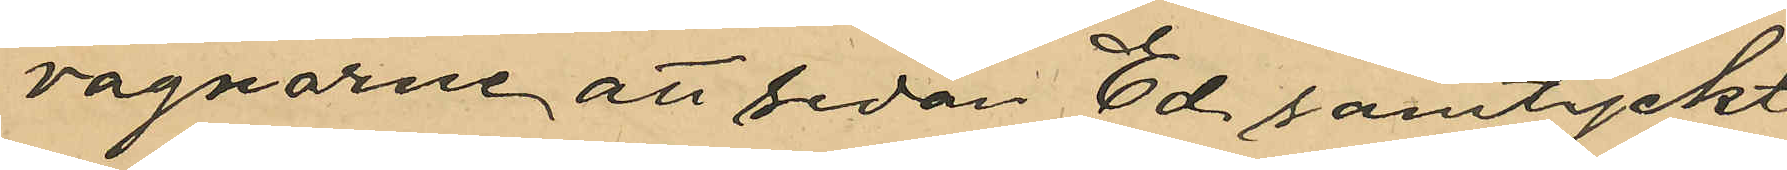vagnarne att sedan Ed samtyckt
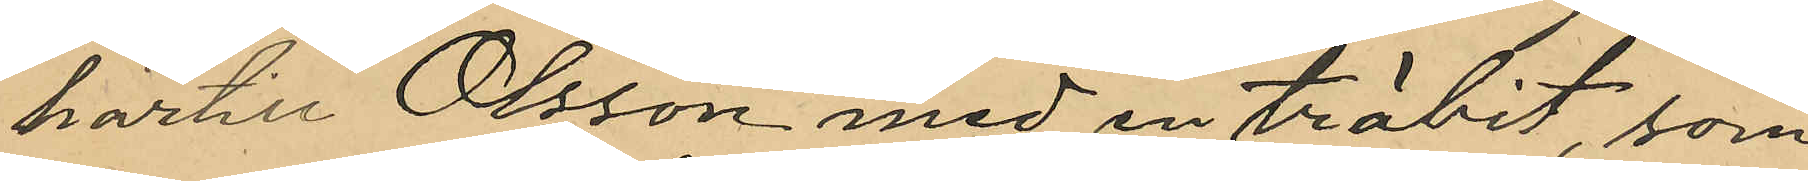härtill Olsson med en träbit, som
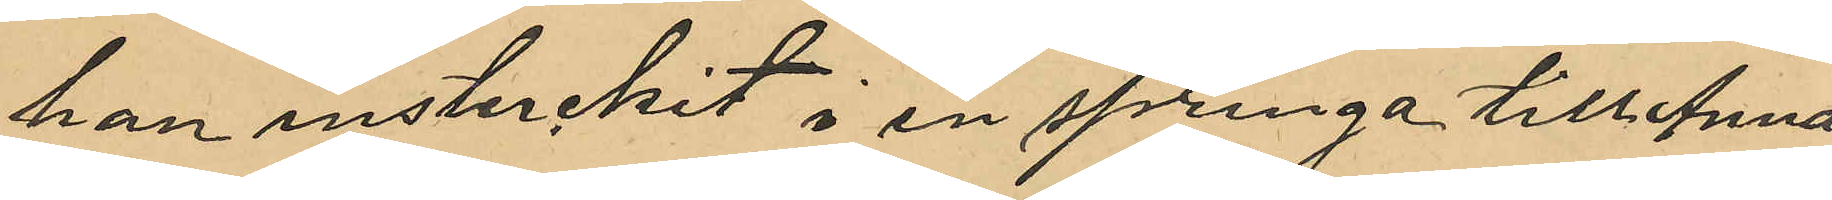han instuckit i en springa till Anna
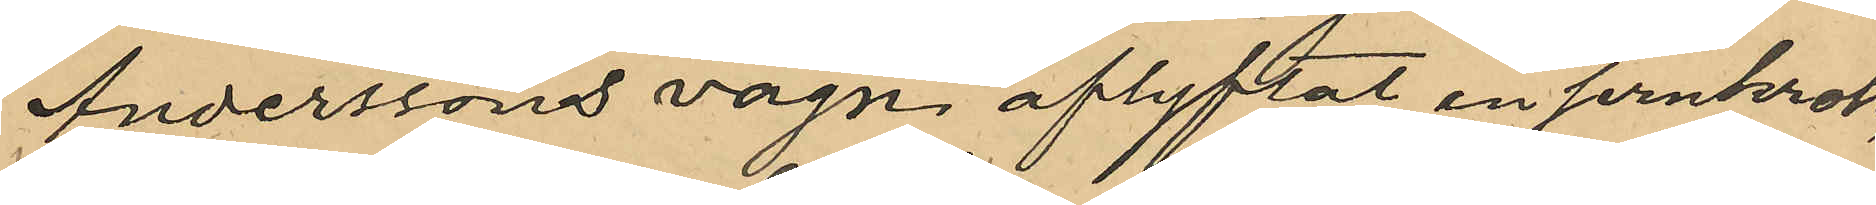Anderssons vagn aflyftat en jernkrok,
